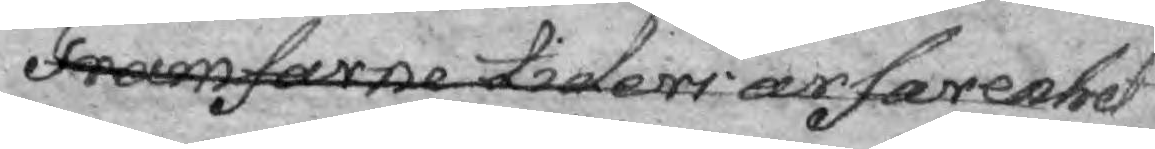Framfarne tiders ärfarenhet
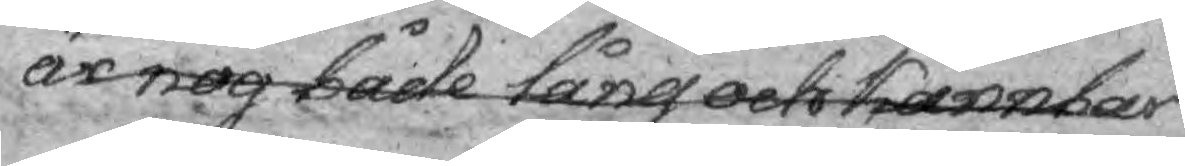är nog både lång och kännbar
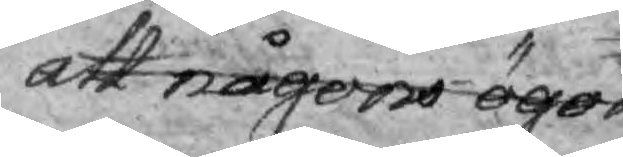att någons ögon
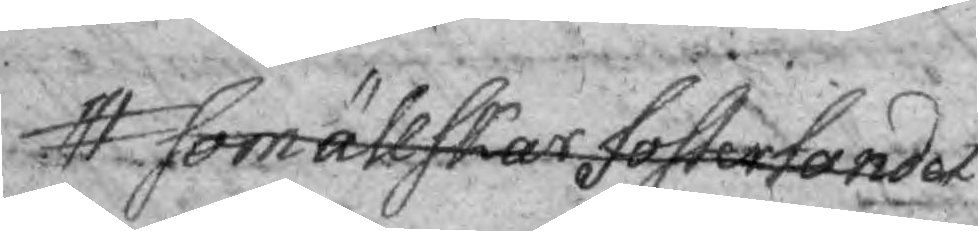som ällskar fosterlandet
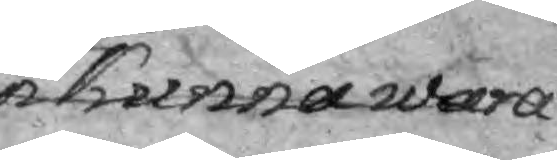kunna wara
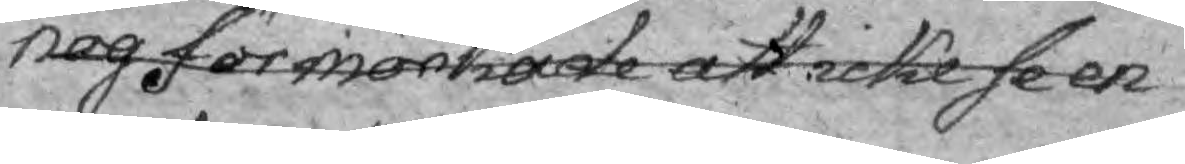nog förmörkade att icke se en
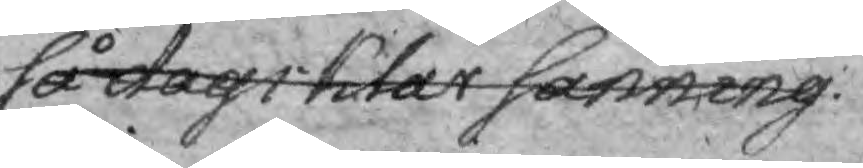så dagsklar Sanning.
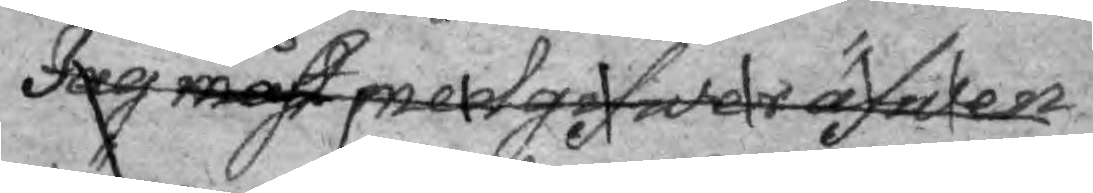Jag måst medgifwer äfwen
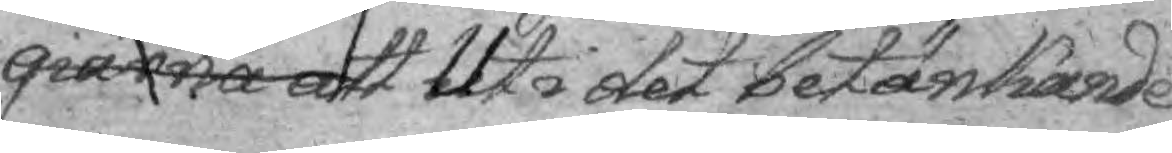giärna att Uti det betänkande
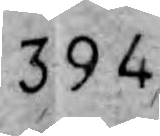394
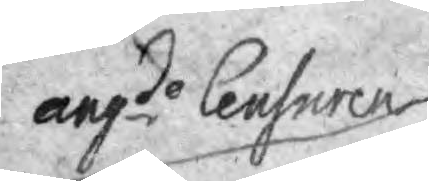angde Censuren
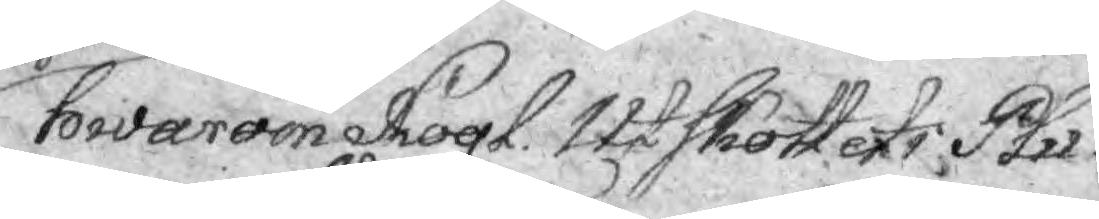hwarom Kogl. Utskottet i Plu¬
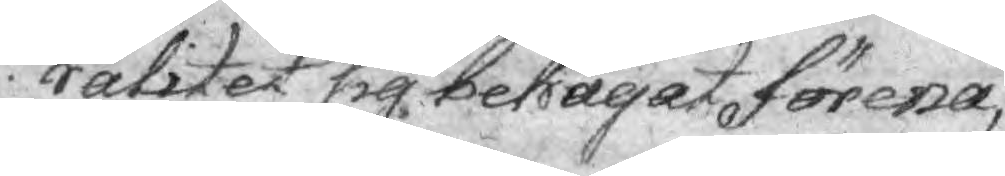ralitet sig sedermera behagat förena,
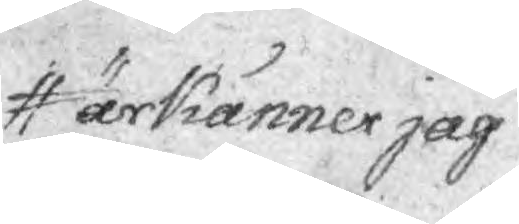ärkänner jag
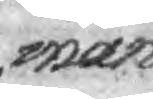mån¬
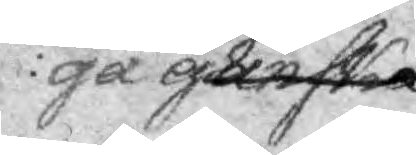ga ganska
